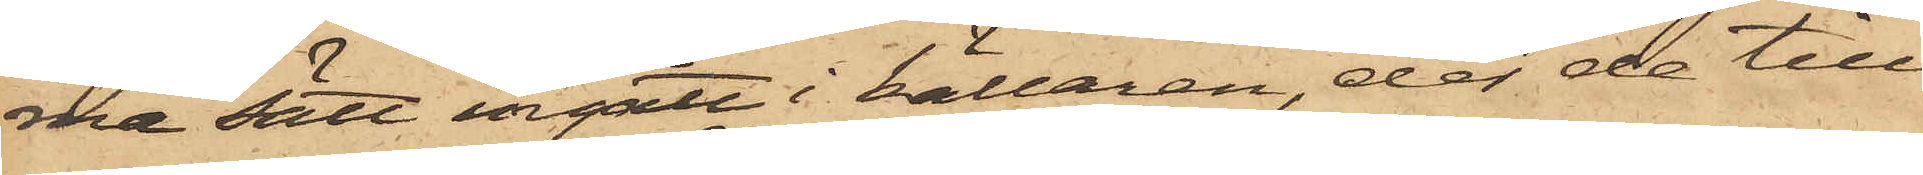ma sätt ingått i källaren, der de till¬
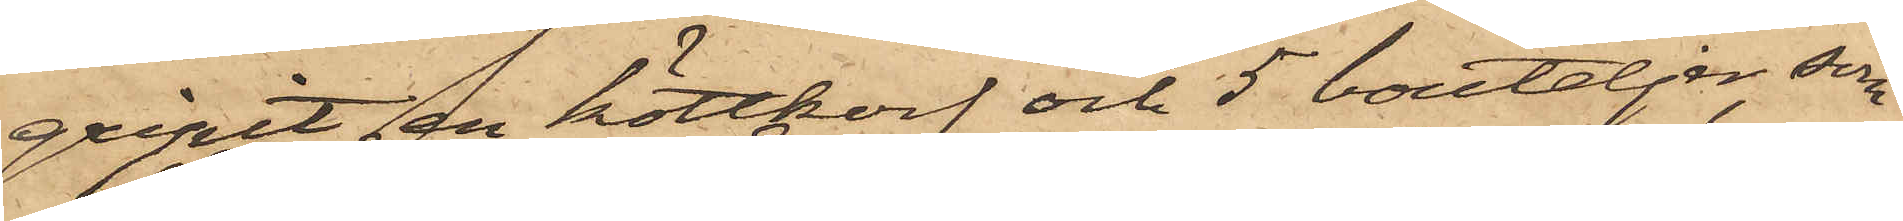gripit en köttkorf och 5 bouteljer, som
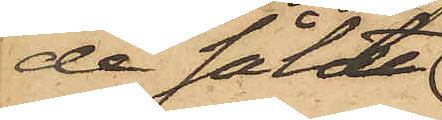de sålt
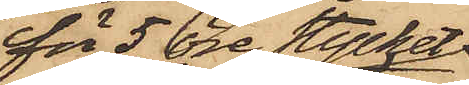för 5 öre stycket
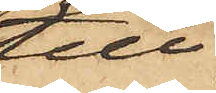till
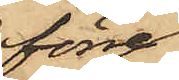förre
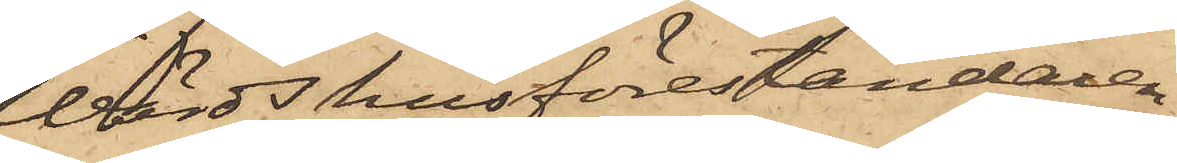Wärdshusföreståndaren
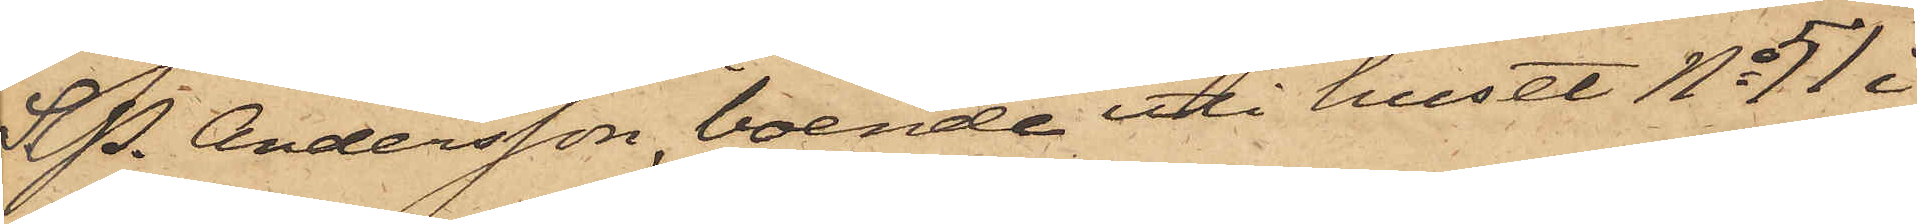S. P. Andersson, boende uti huset No 51 i
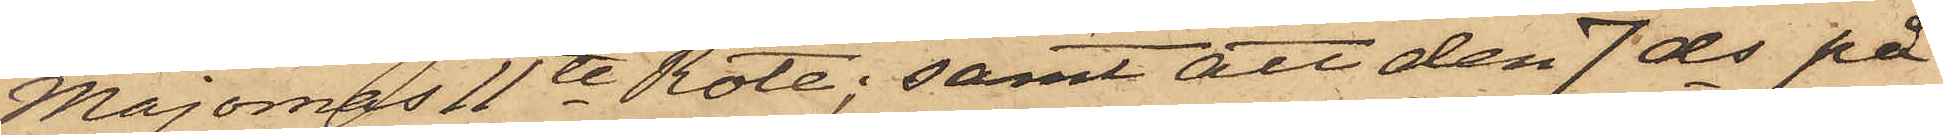Majornas 11te Rote; samt att den 7 ds på
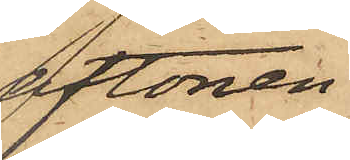aftonen
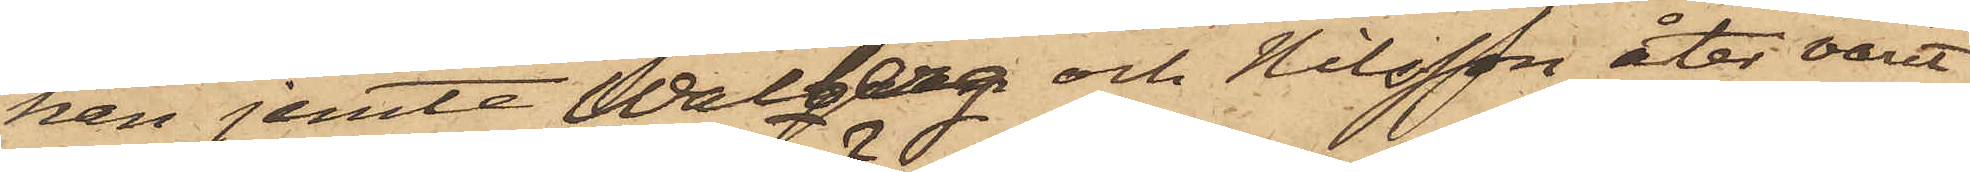han jemte Walberg och Nilsson åter varit
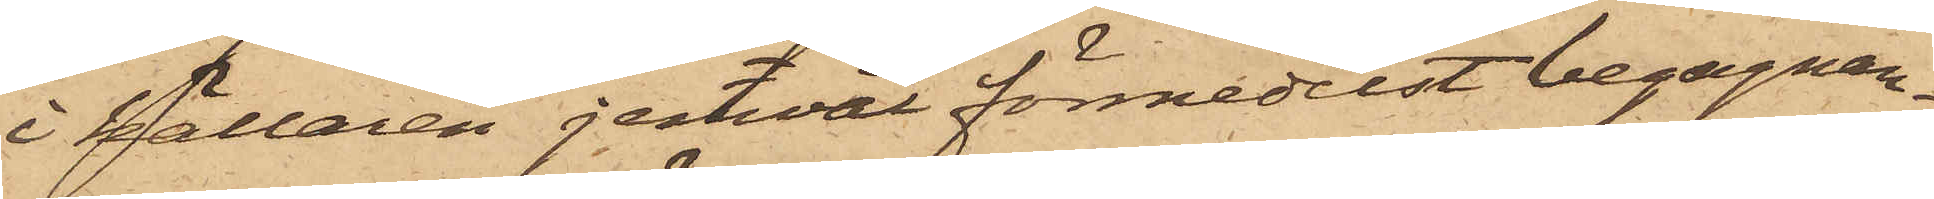i källaren jemväl förmedelst begagnan¬
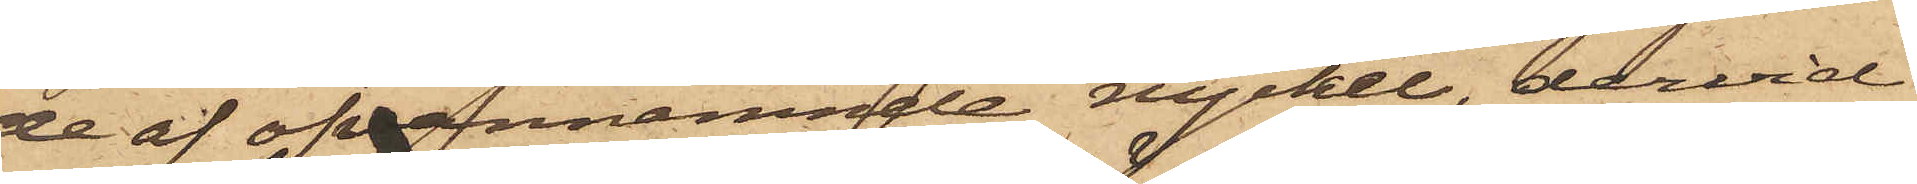de af ofvannämnde nyckel, dervid
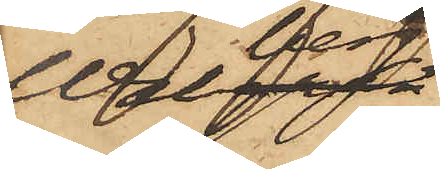Walberg
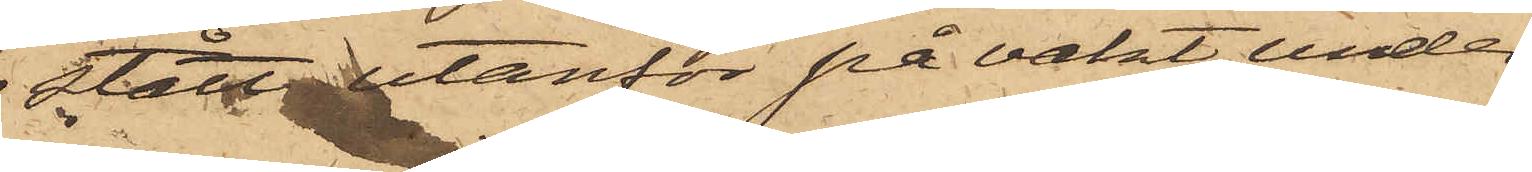 stått utanför på vakt, under
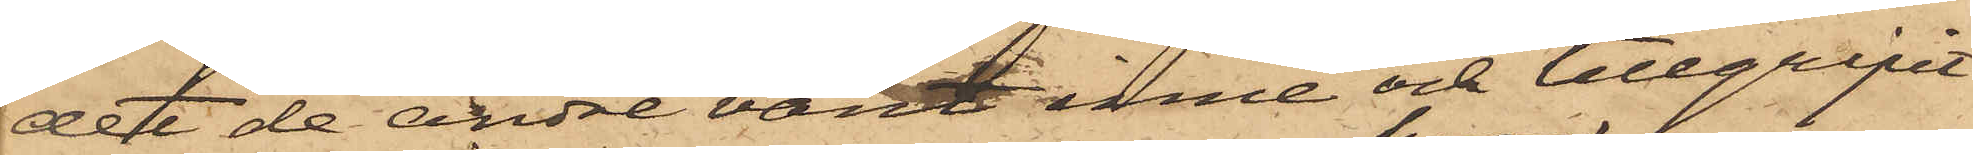det de andre varit inne och tillgripit
